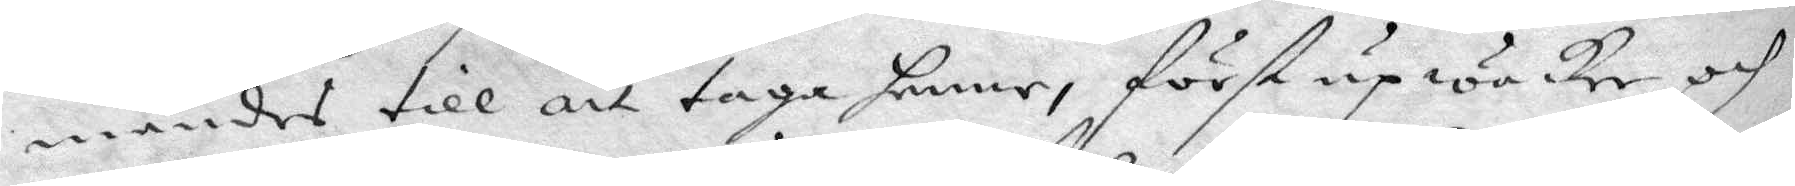mandes till att taga henne, först upwacker och
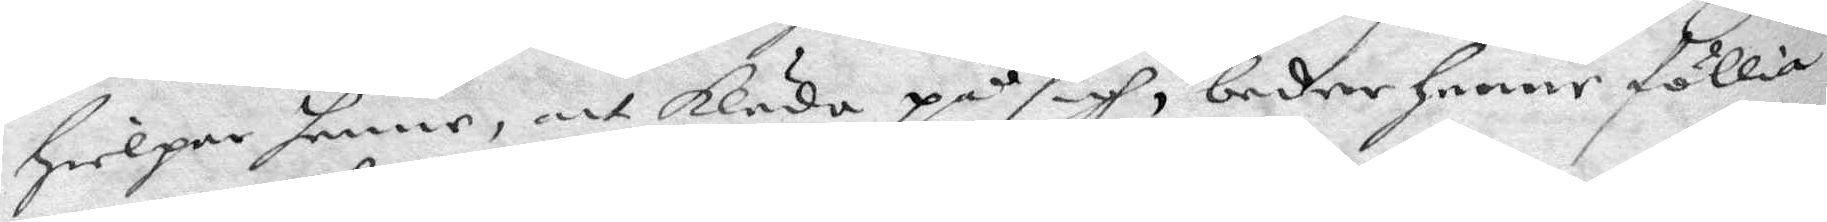Hielpar henne, att kläda på sigh, beder henne föllia
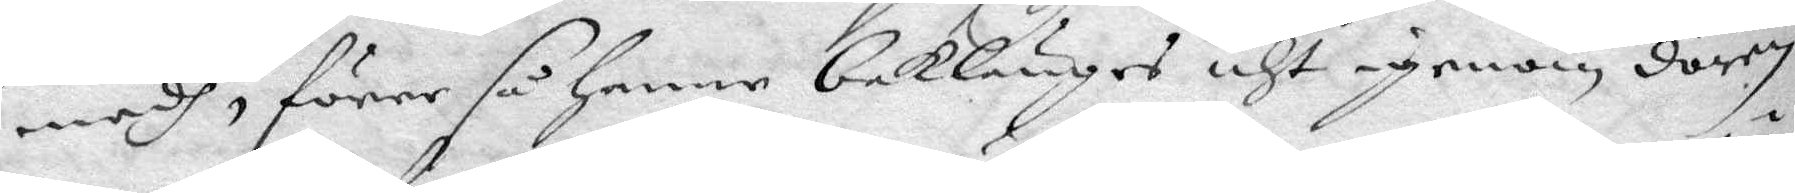medh, förer så henne baklänges uht igenom dören
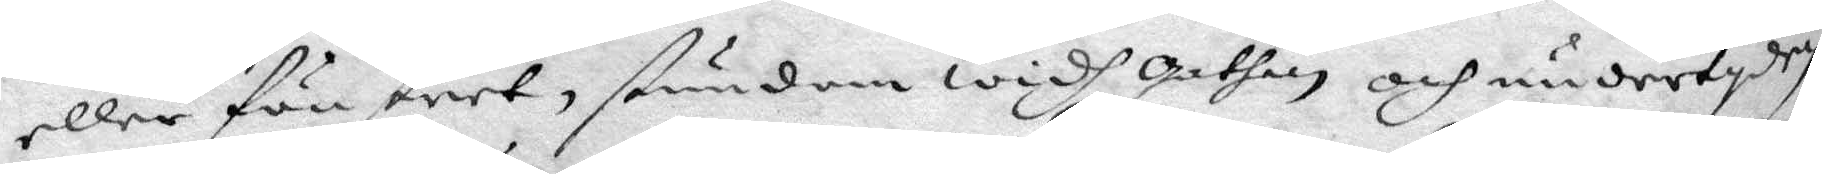eller fönstret, stundom widh gathan och undertyden
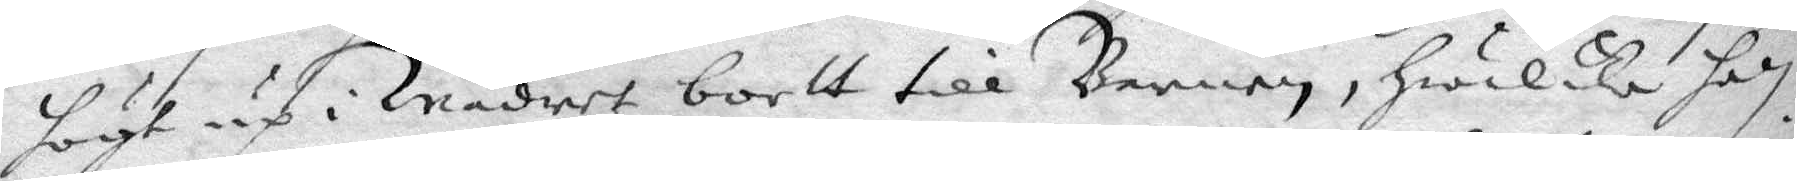högt up i wädret bortt till Barnen, Hwilka han
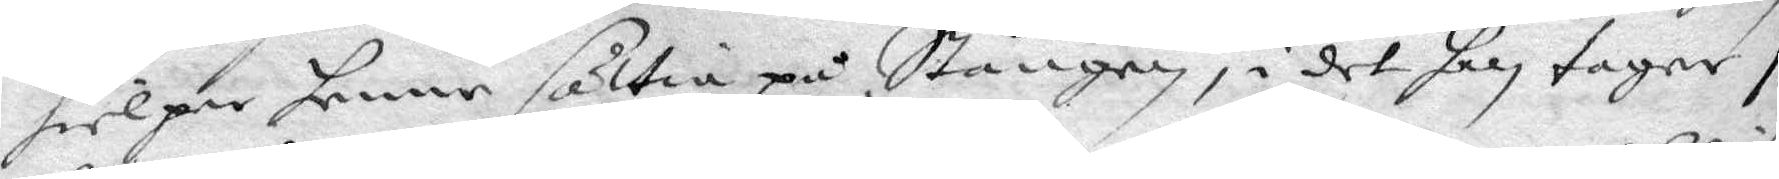hielper henne sättia på Stången, i det han tager i
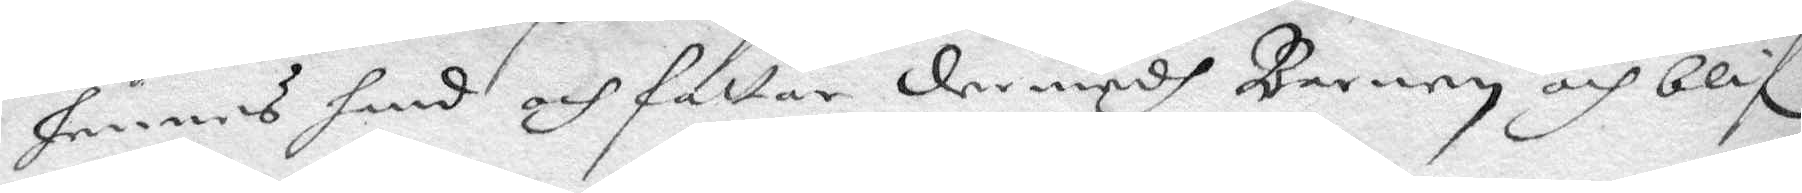hennes hand och fatter der medh Barnen och blifr
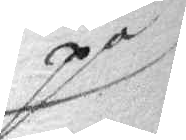på
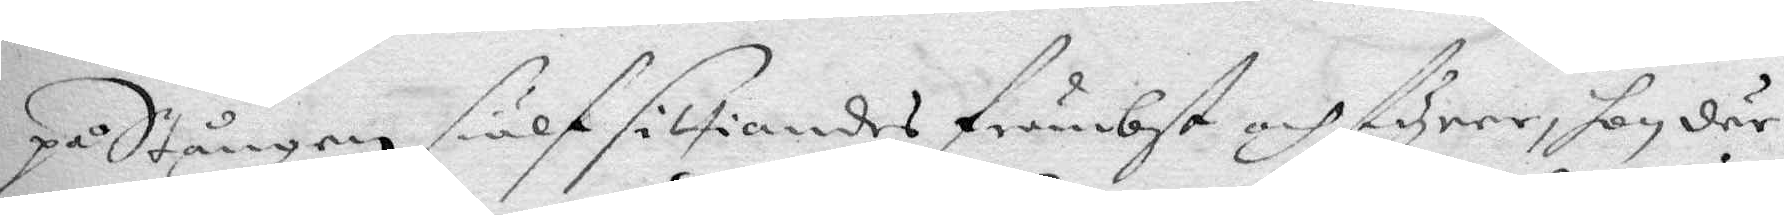på Stången siälf sittiandes främbst och styrer, hon där
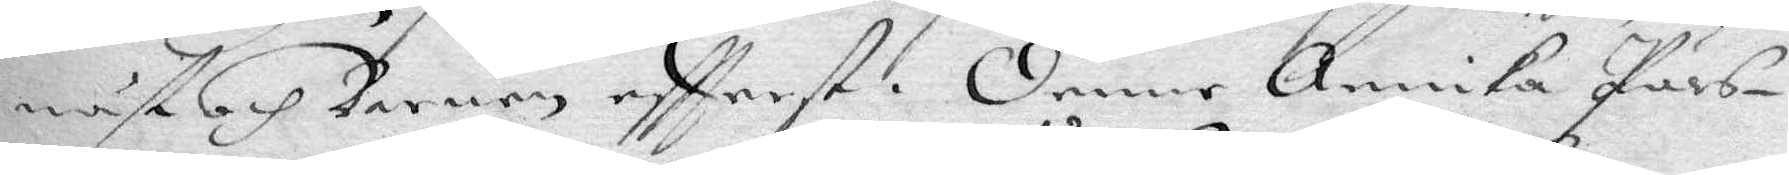näst och Barnen eftterst. Denne Annika Pärs¬
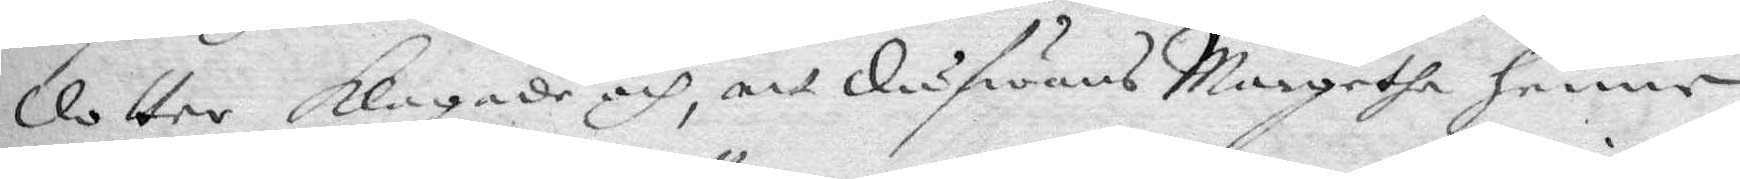dotter klagade och, att dufwans Margetha henne
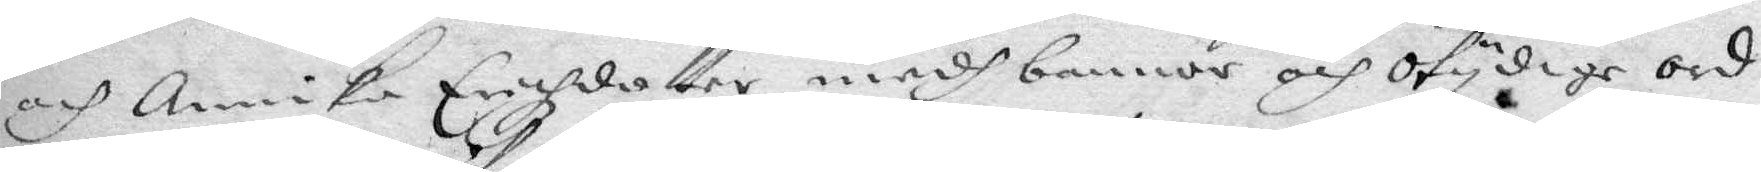och Annika Erichzdotter medh bannor och otydige ord
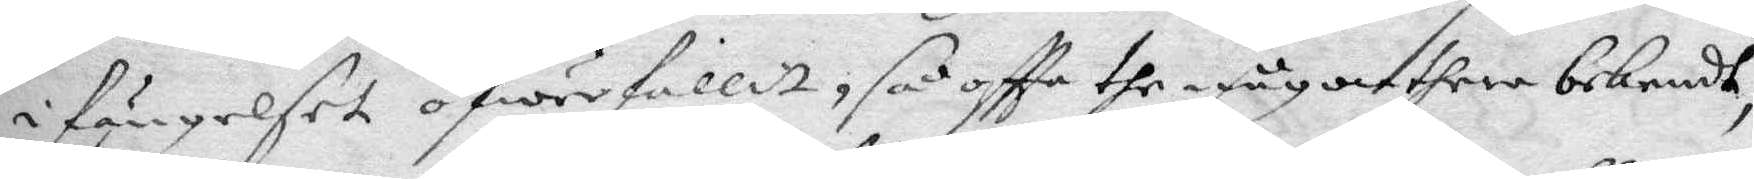i fängelset öfwerfallit, så oftta the någon ther bekendt,
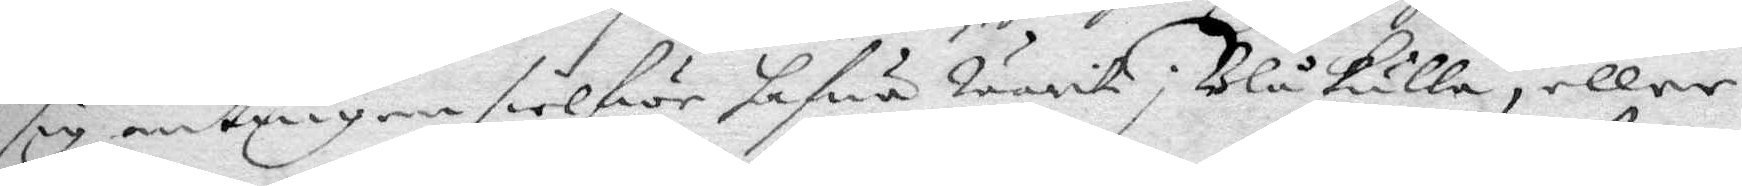sig antingen sielfwe hafwa warit i Blåkulla, eller
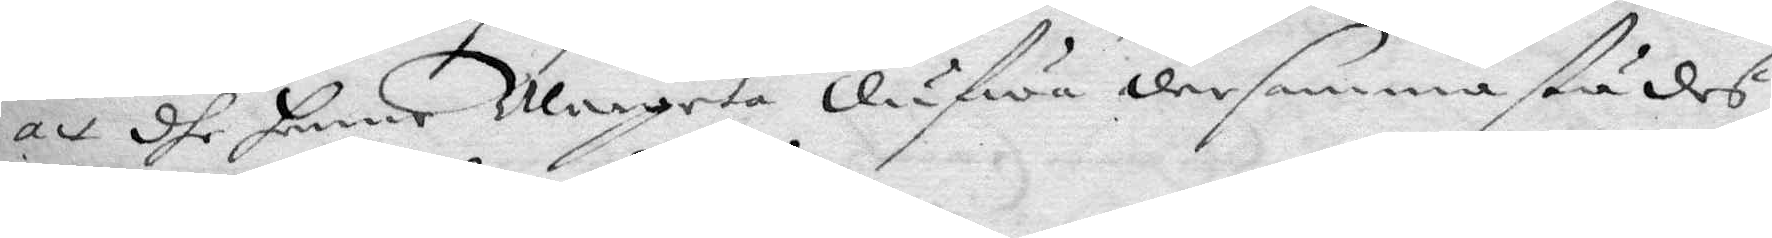att dhe henne Margeta dufwa dersammastädes
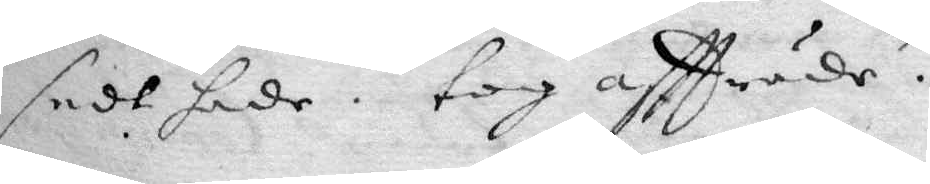sedt hade. tog affträde.
